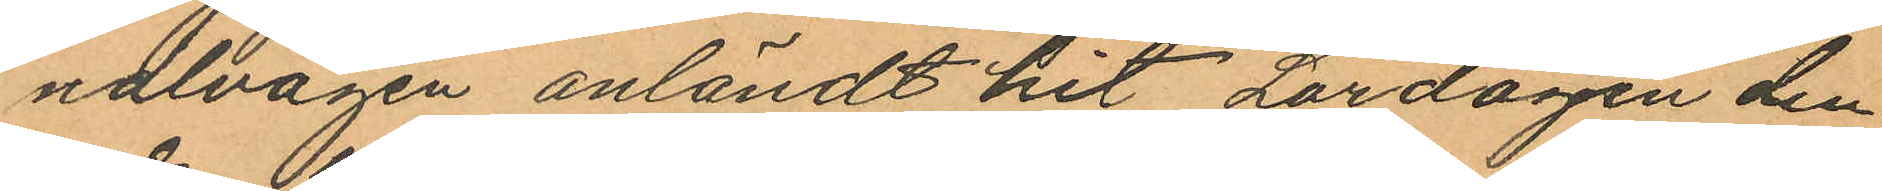nalvägen anländt hit Lördagen den
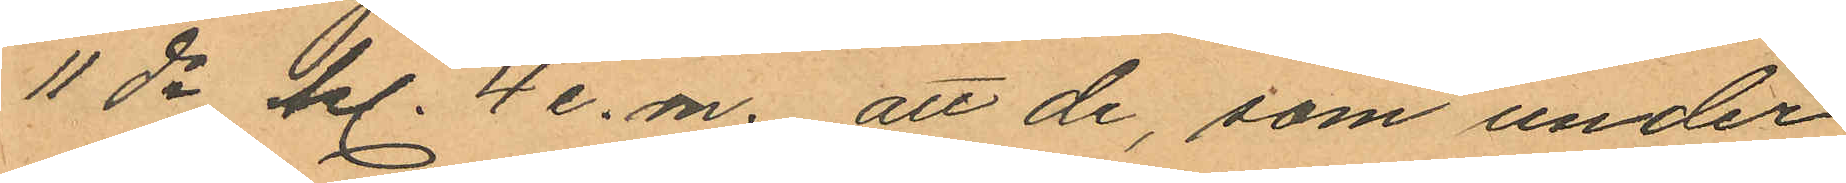11ds kl. 4 e. m. att de, som under
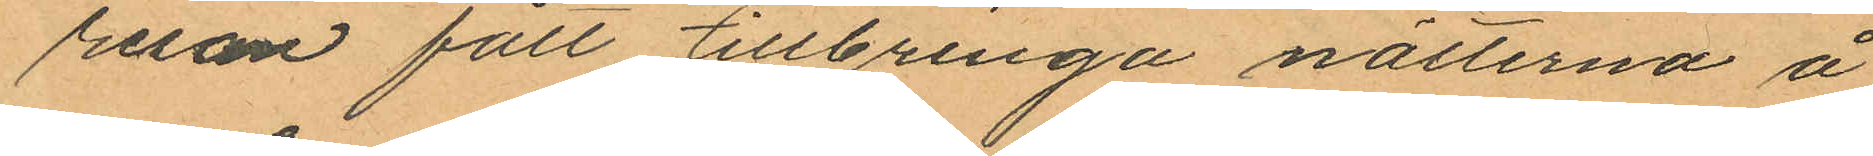resan fått tillbringa nätterna å
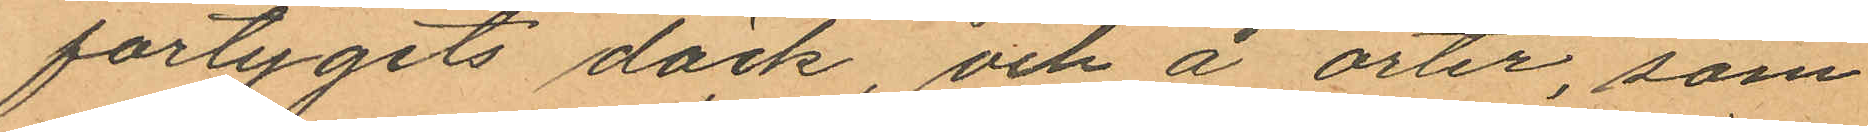fartygets däck, och å orter, som
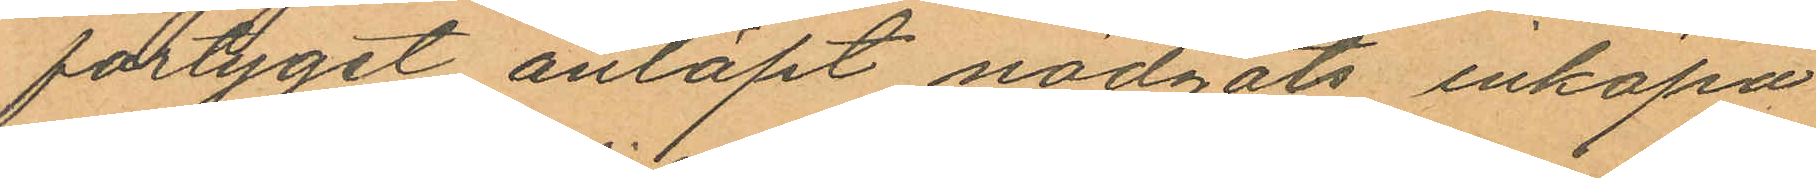fartyget anlöpt nödgats inköpa
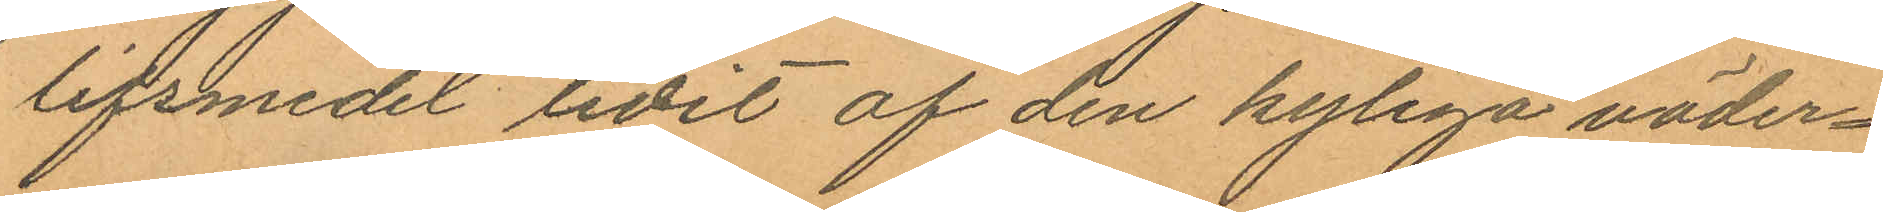lifsmedel lidit af den kyliga väder¬
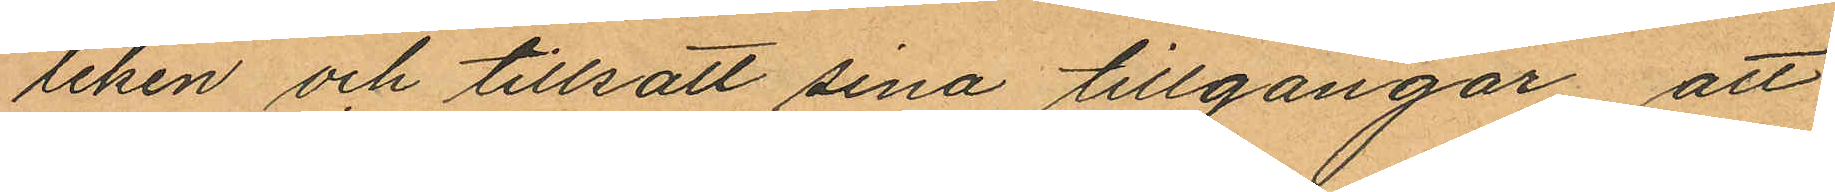leken och tillsatt sina tillgångar att
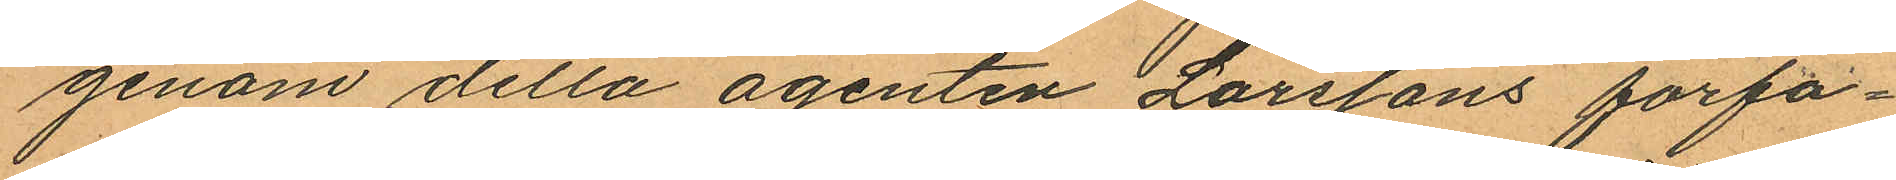genom detta agenten Larssons förfa¬
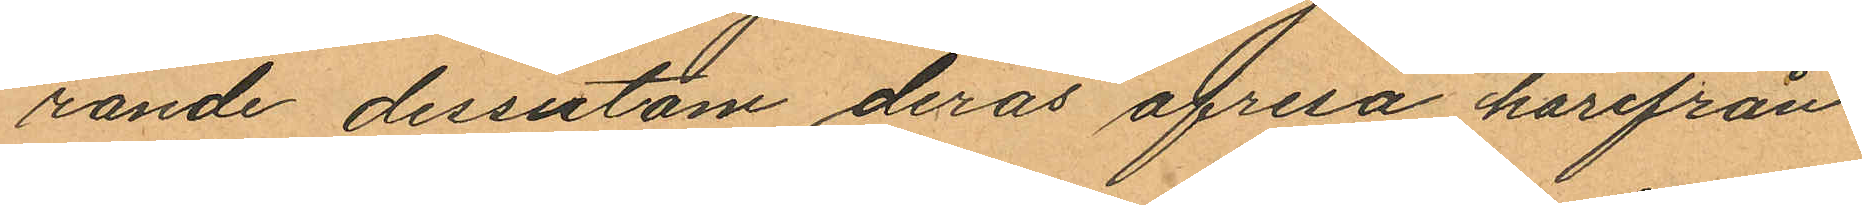rande dessutom deras afresa härifrån
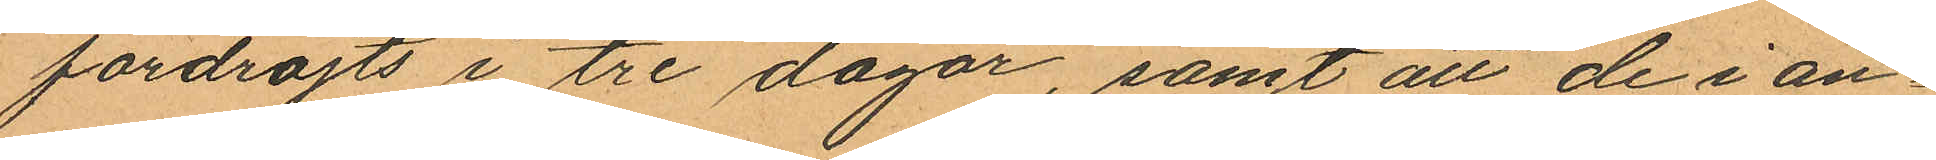fördröjts i tre dagar, samt att de i an¬
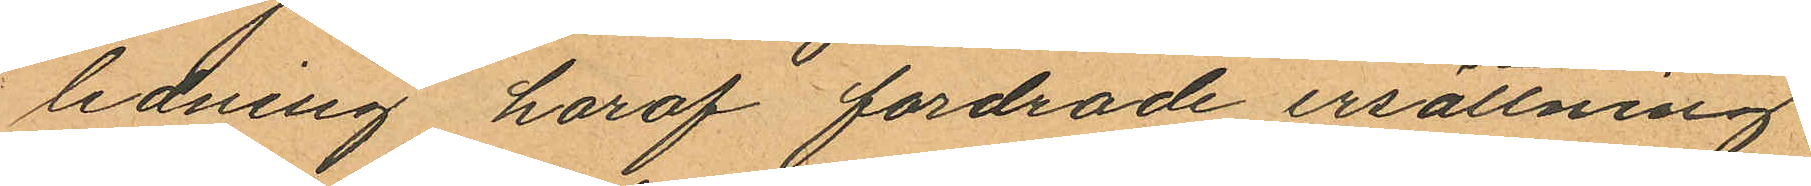ledning häraf fordrade ersättning
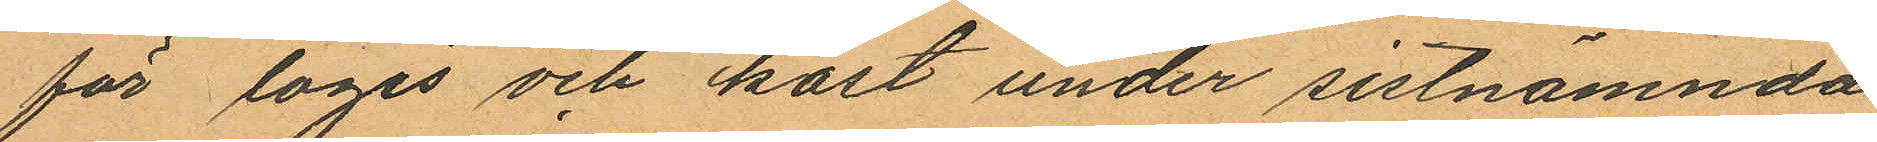för logis och kost under sistnämnda
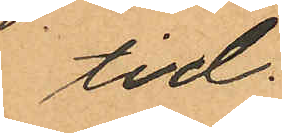tid.
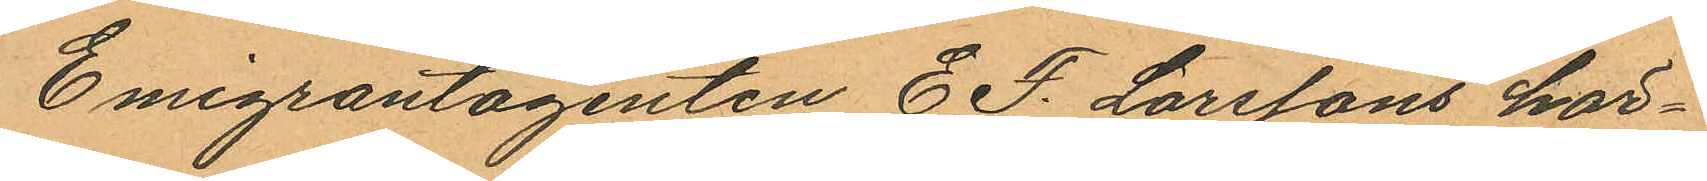Emigrantagenten E. F. Larssons här¬
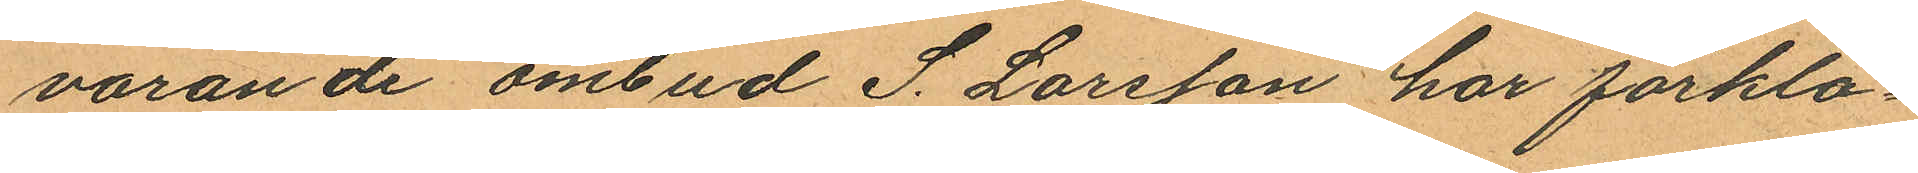varande ombud S. Larsson har förkla¬
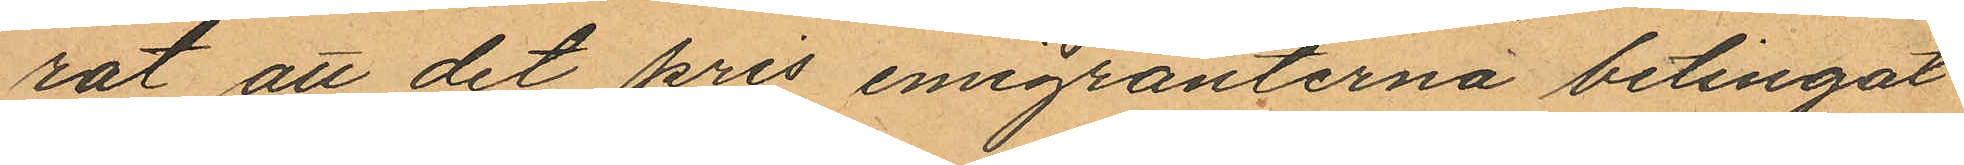rat att det pris emigranterna betingat
